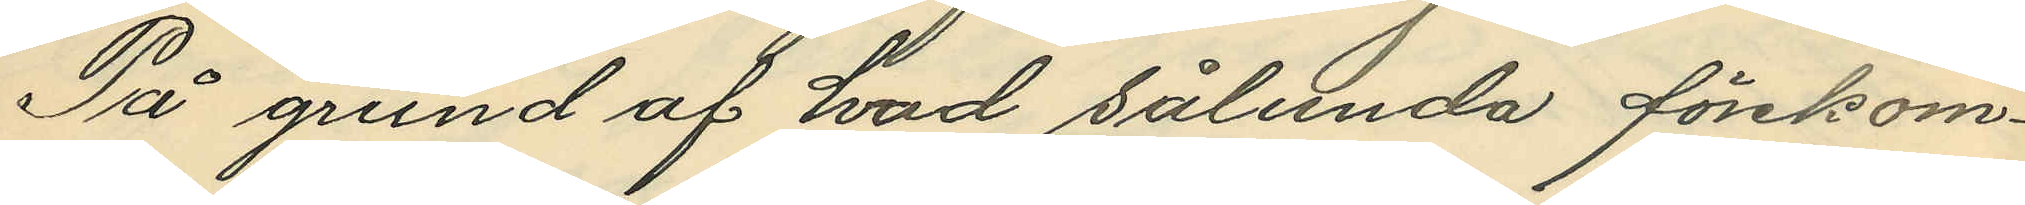På grund af hvad sålunda förekom¬
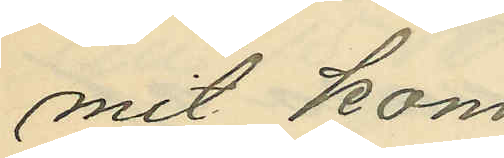mit kom
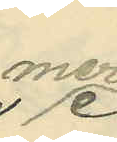mer
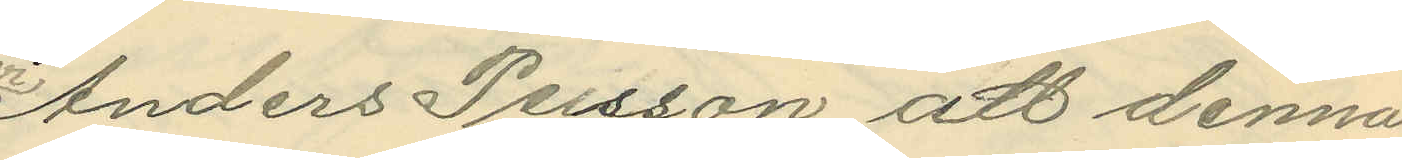Anders Persson att denna
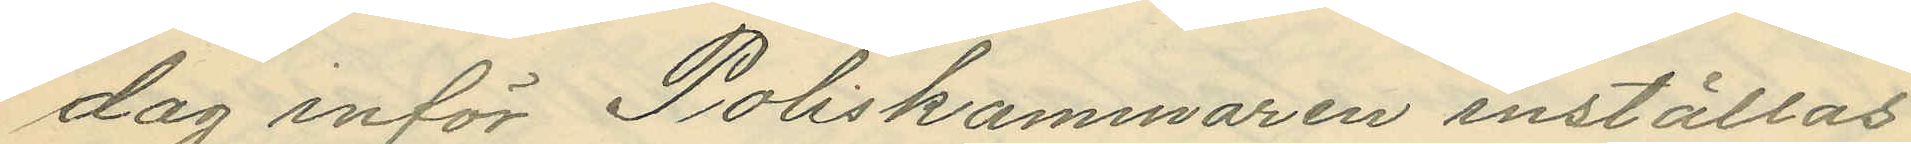dag inför Poliskammaren inställas.
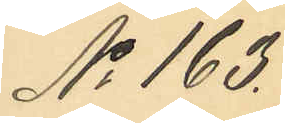No 163.
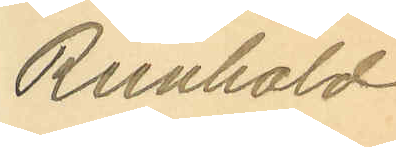Reinhold
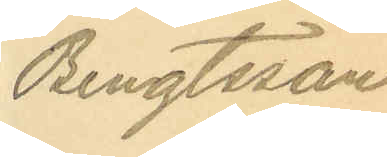Bengtsson
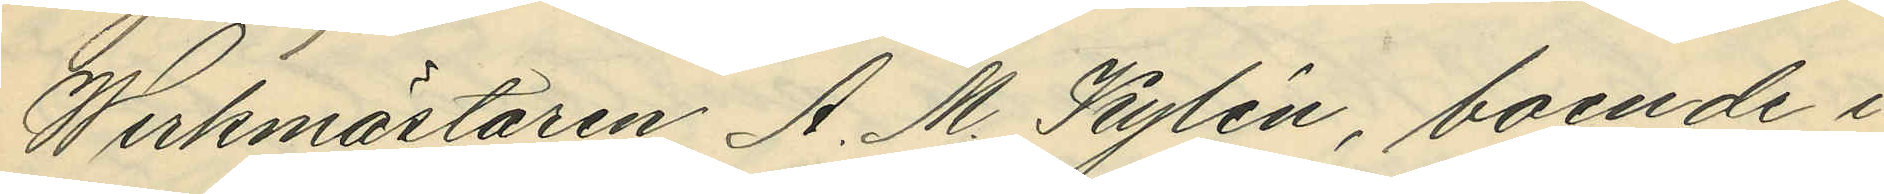Werkmästaren A. M. Kylén, boende i
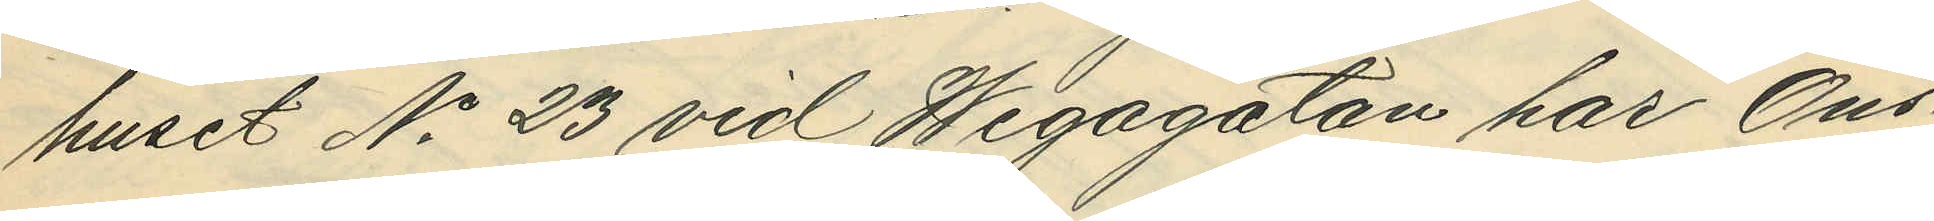huset No 23 vid Wegagatan har Ons¬
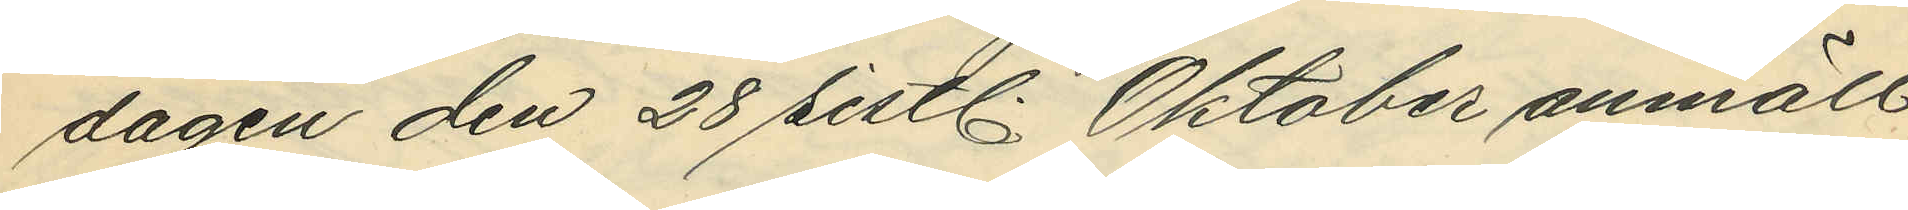dagen den 28 sistl. Oktober anmält
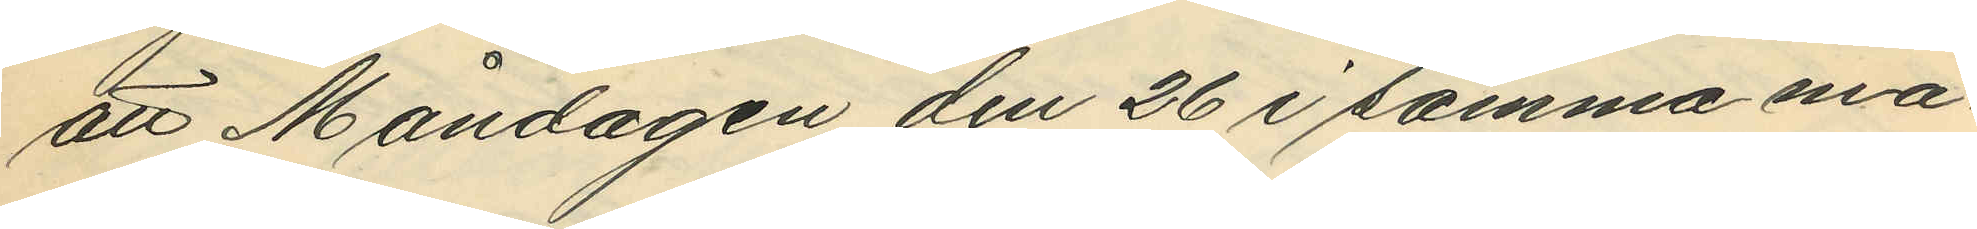att Måndagen den 26 i samma må¬
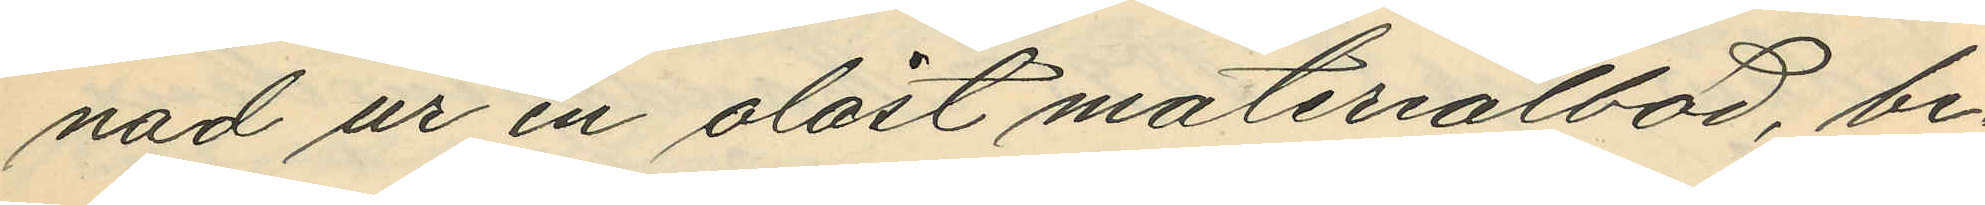nad ur en olåst materialbod, be¬
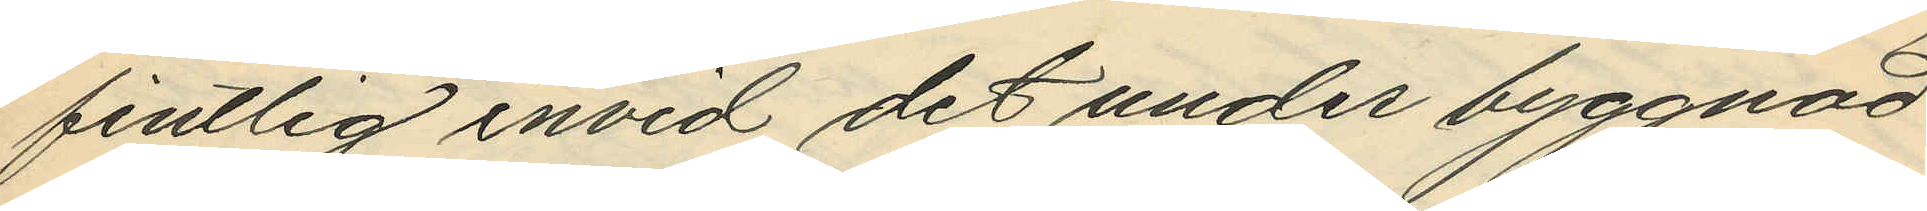fintlig invid det under byggnad
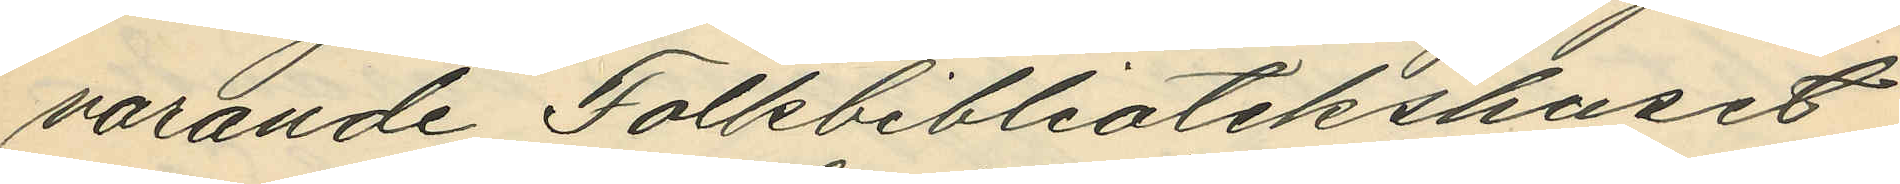varande Folkbibliotekshuset
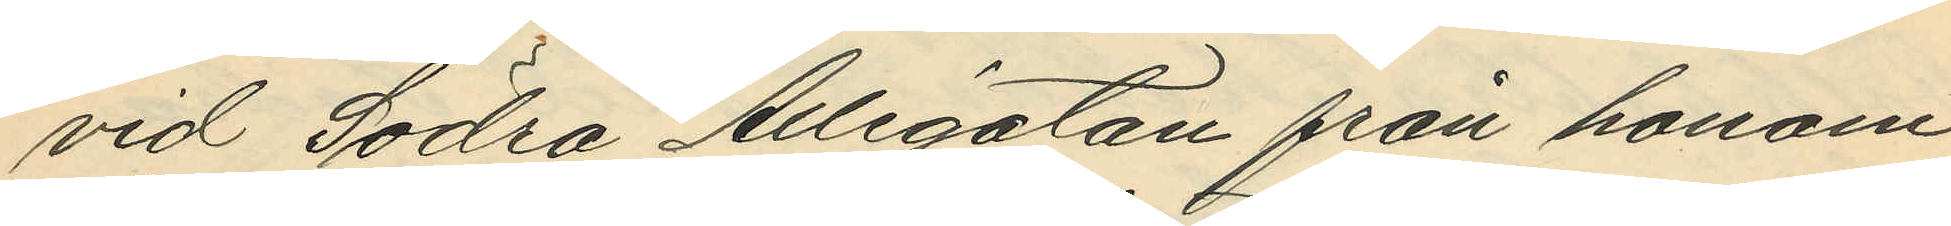vid Södra Allégatan från honom
